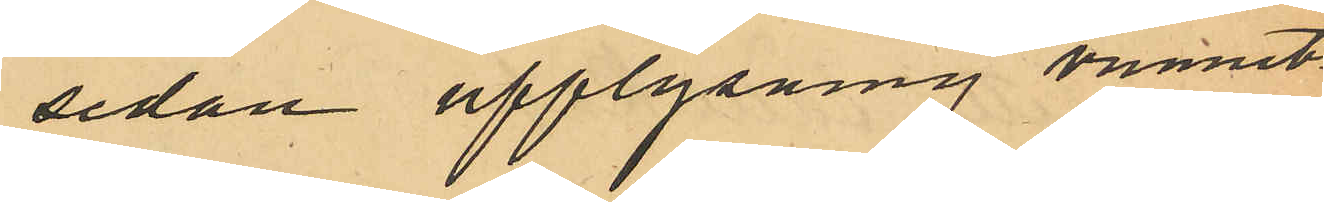sedan upplysning vunnits
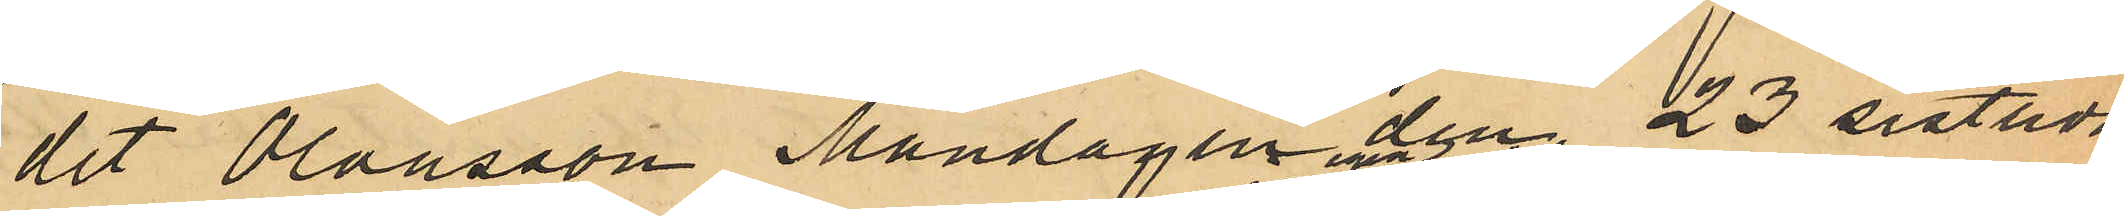det Olausson Måndagen den 23 sistlidne
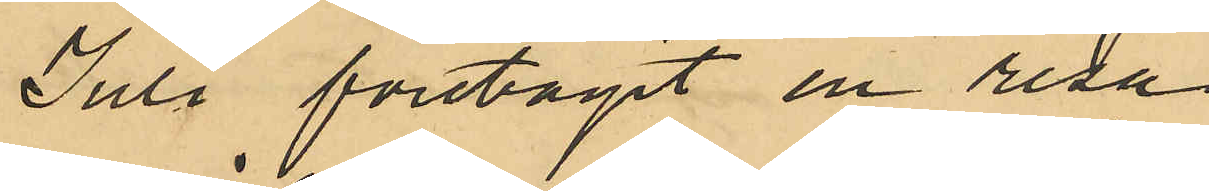Juli, företagit en resa
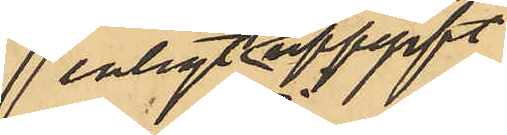enligt egen utsago
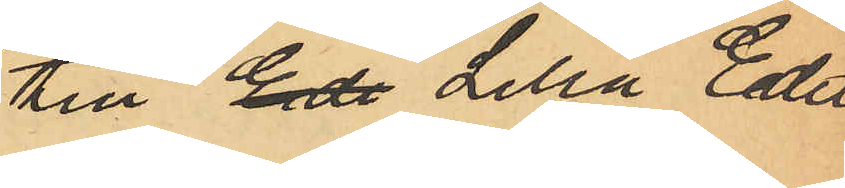till Ede Lilla Edet
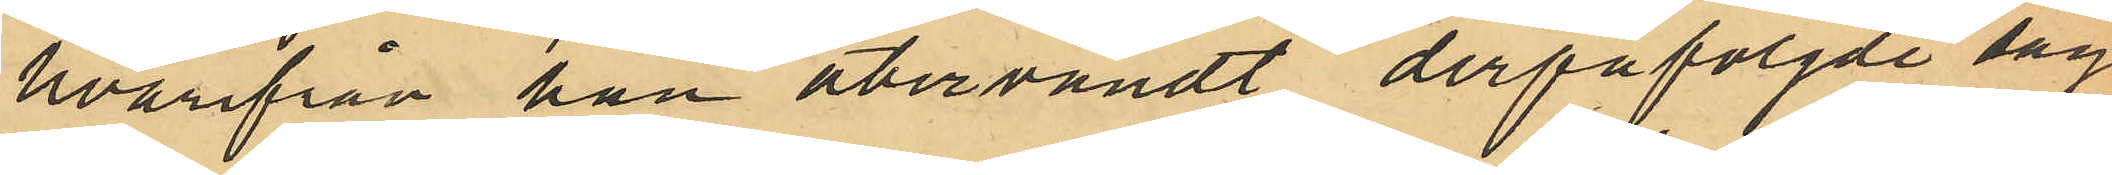hvarifrån han återvändt derpåföljde dag
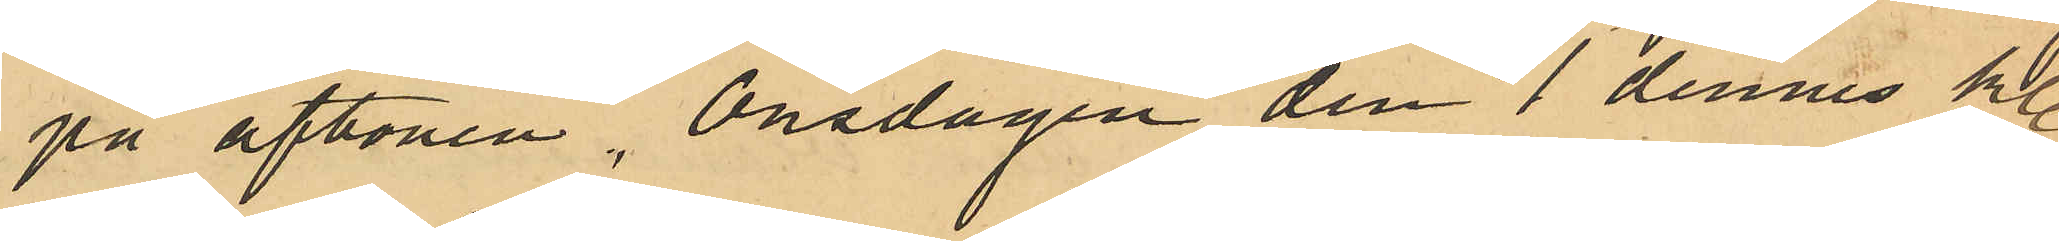på aftonen, Onsdagen den 1 dennes Kl
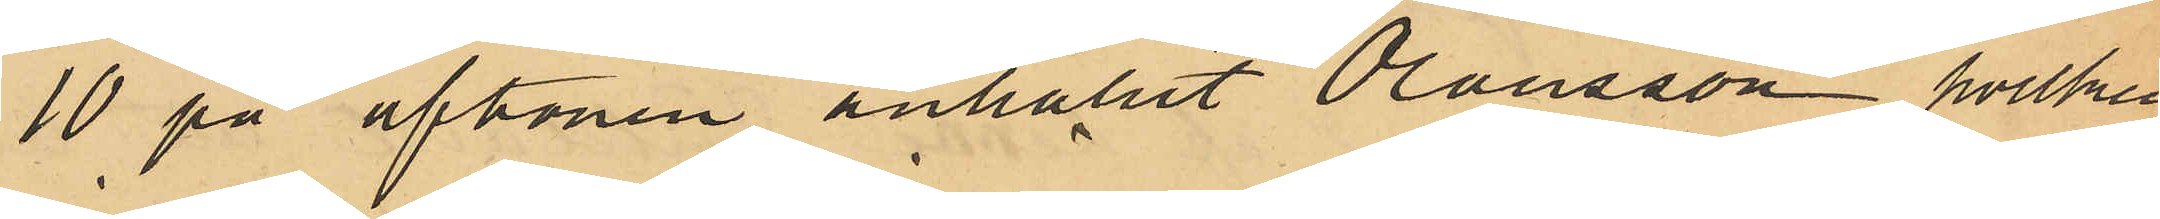10 på aftonen anhållit Olausson, hvilken
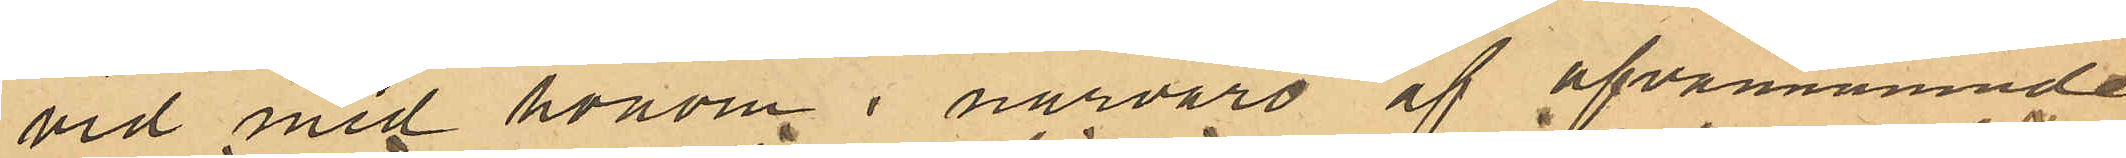vid med honom i närvaro af ofvannämnde
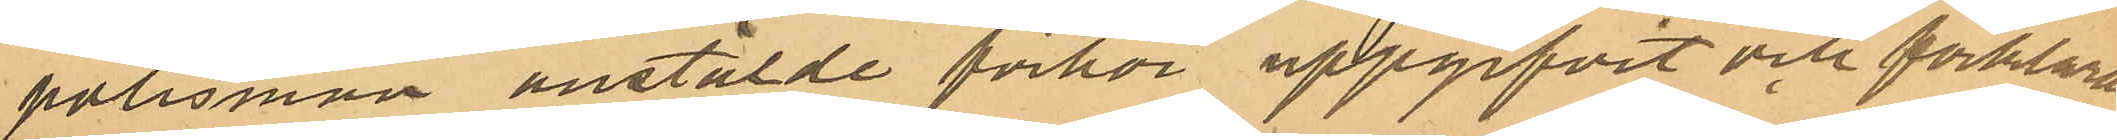polismän anstälde förhör uppgifvit och förklarat
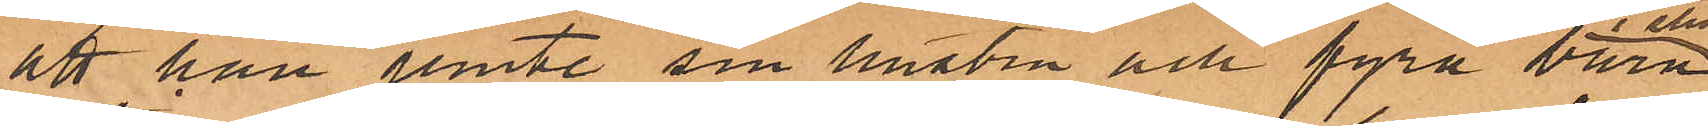att han jemte sin hustru och fyra barn
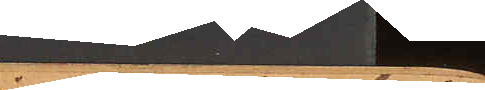i slutet af sist. April
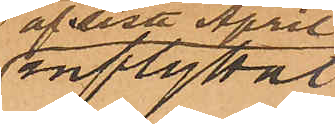inflyttat
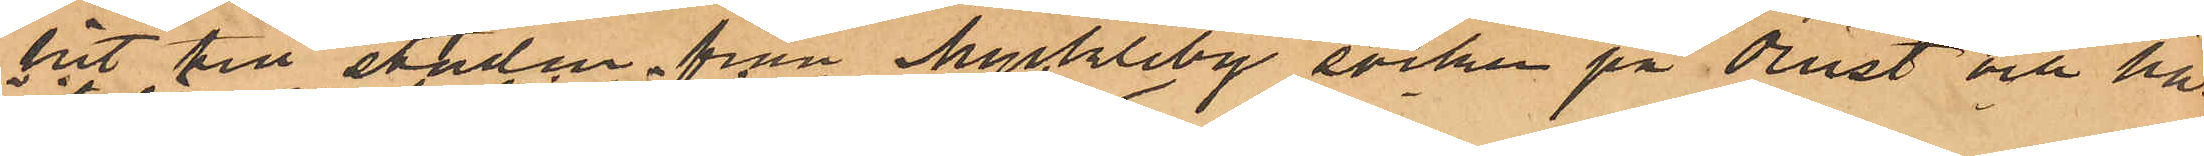hit till staden från Myckleby socken på Orust och har
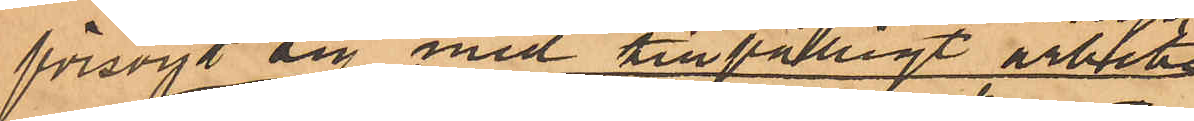försörjt sig med tillfälligt arbete
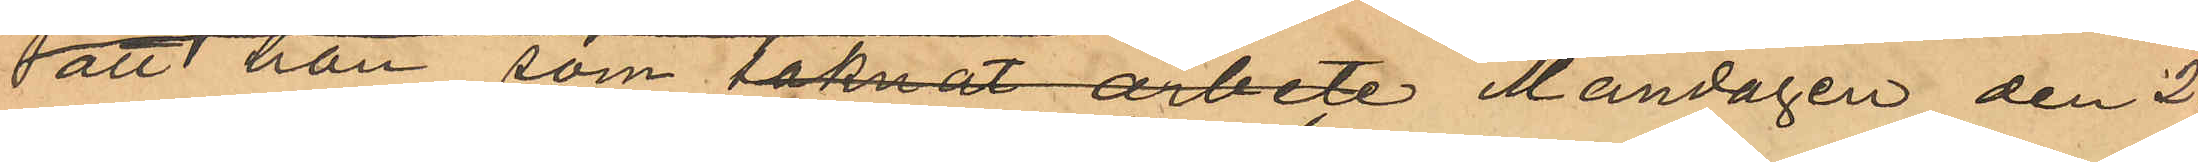att han som saknat arbete Måndagen den 23
